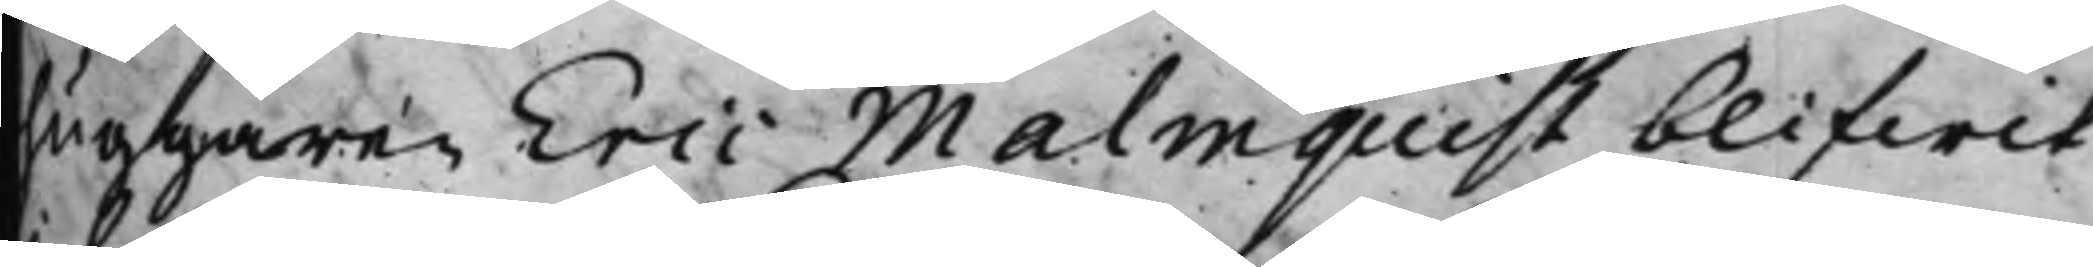huggaren Eric Malmquist blifwit
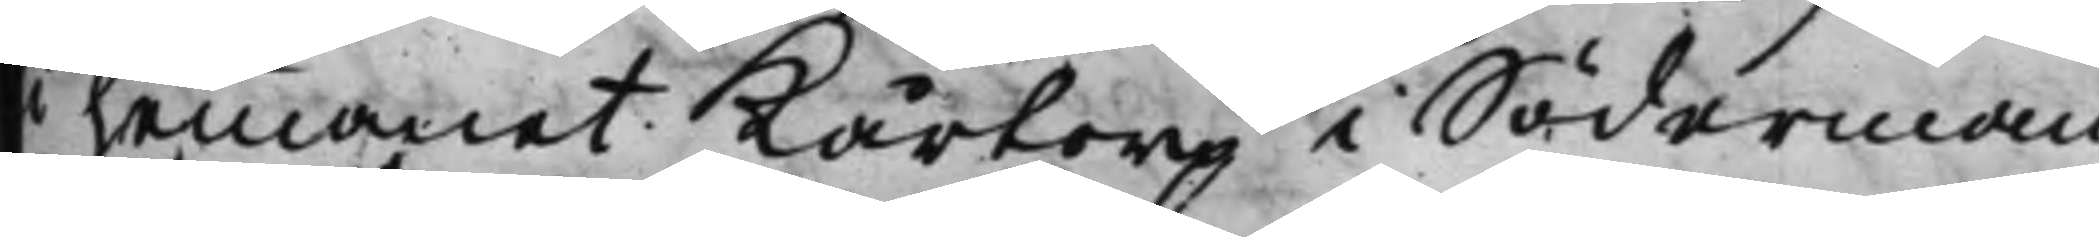i hemmanet Kårtorp i Söderman¬
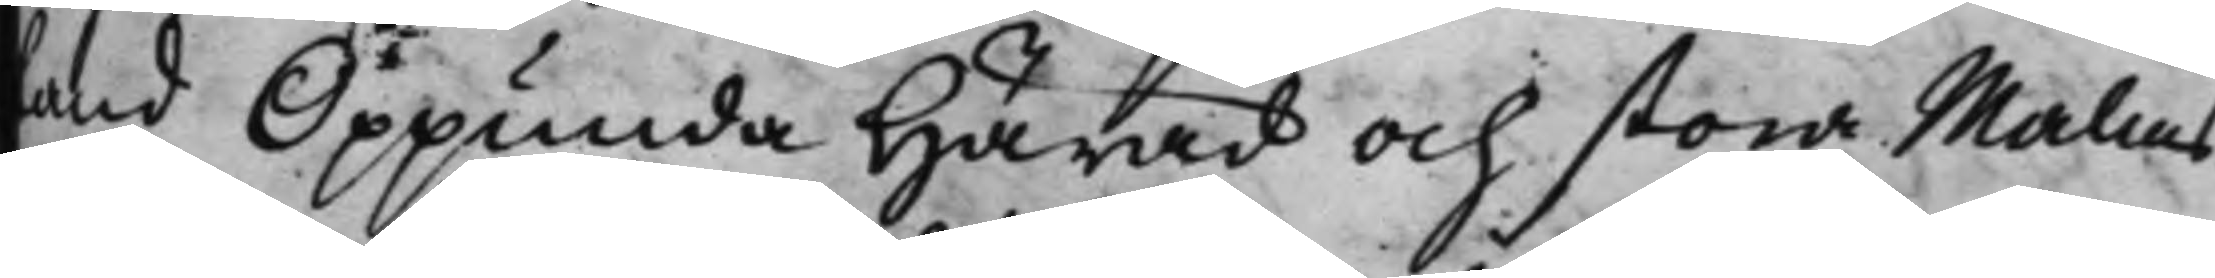land Oppunda Härad och stora Malms
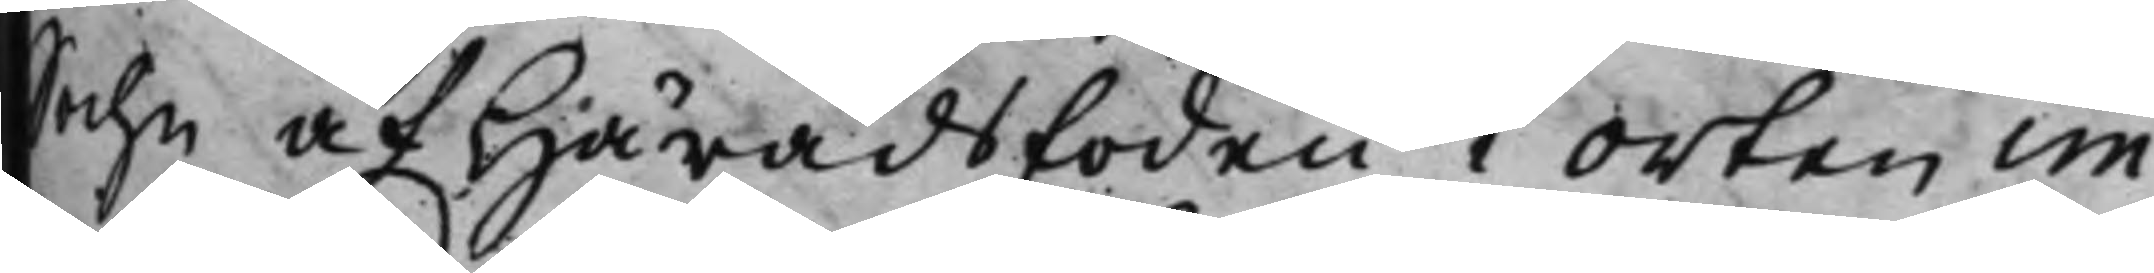Sochn af Häradsfoden i orten im¬
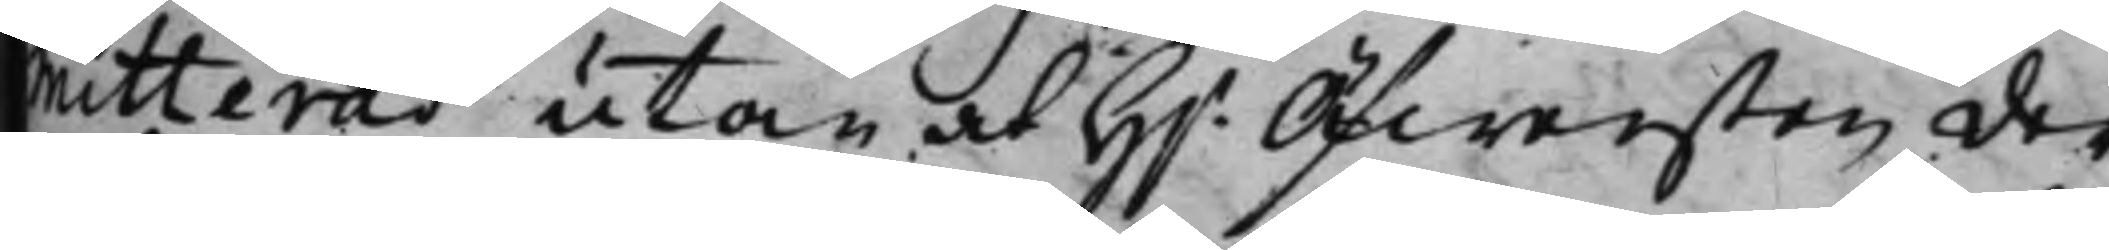mitterad utan at H.r Öfwersten der¬
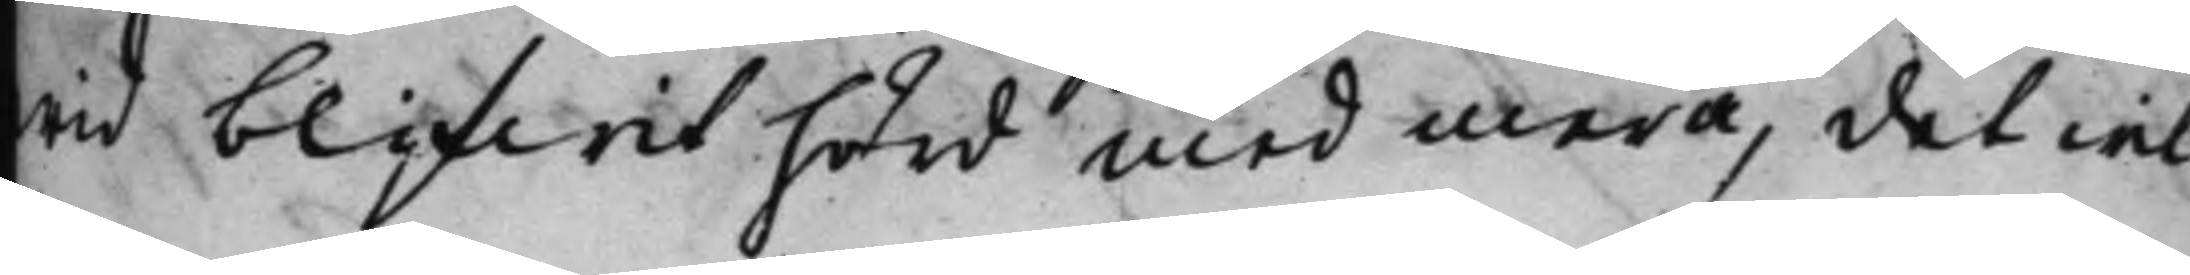wid blifwit hörd med mera, det wil¬
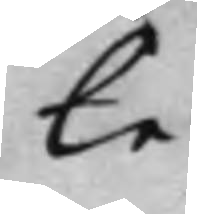le
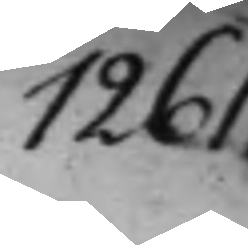1261.
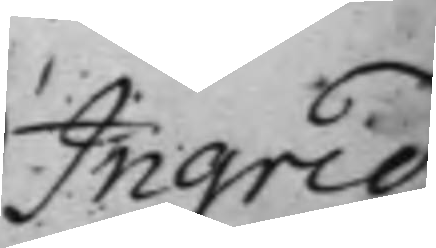Ingrid
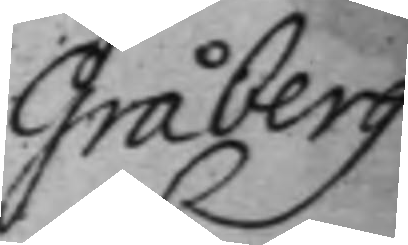Gråberg
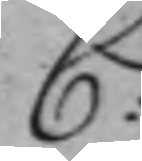C:
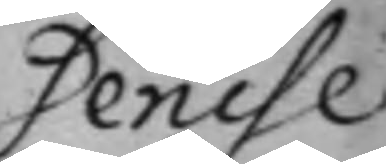Denise
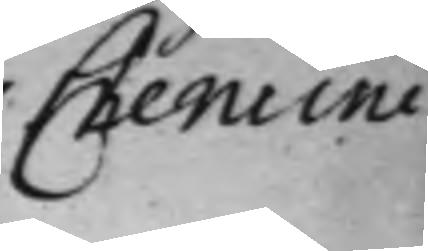Chemino
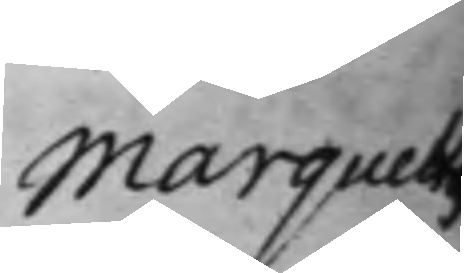Marquettis
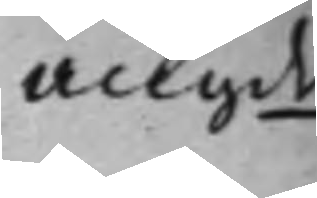angde
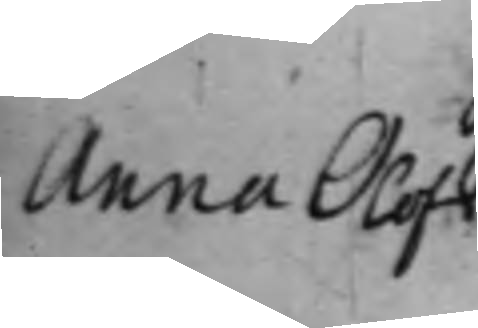Anna Olofs¬
